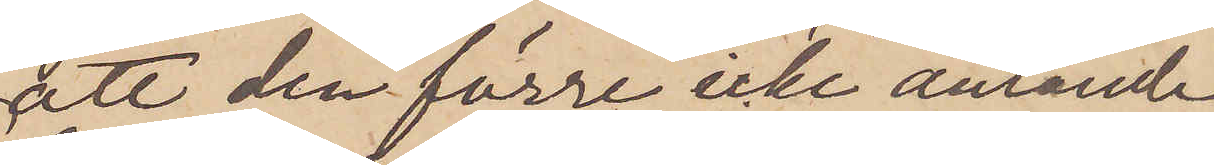att den förre icke anlände
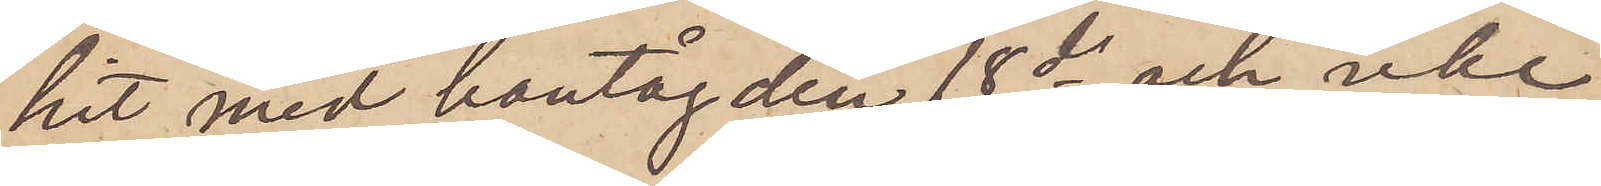hit med bantåg den 18 ds och icke
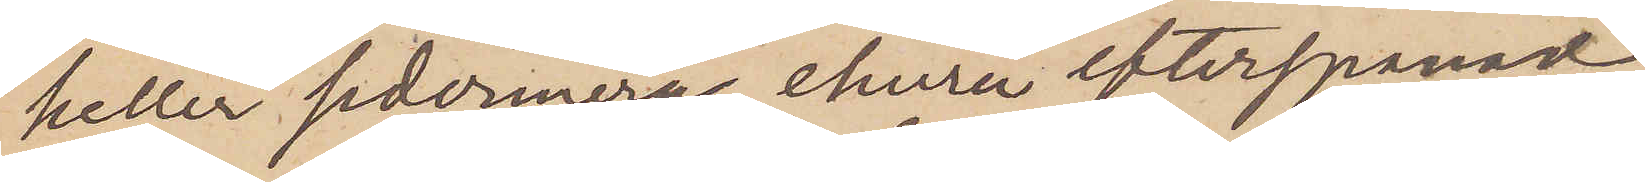heller sedermera, ehuru efterspanad,
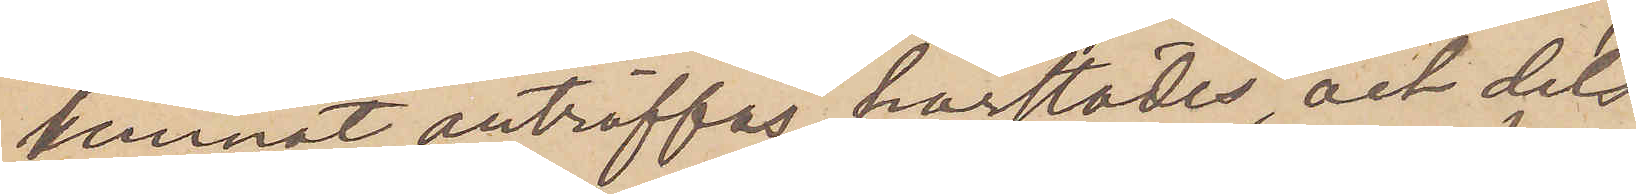kunnat anträffas härstädes, och dels
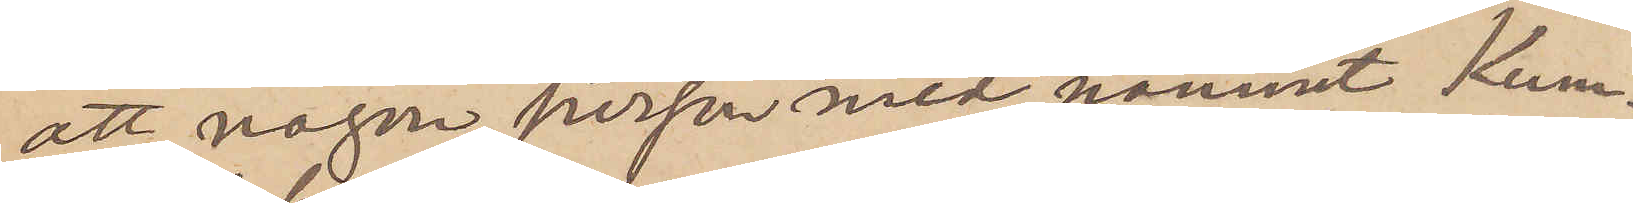att någon person med namnet Kum¬
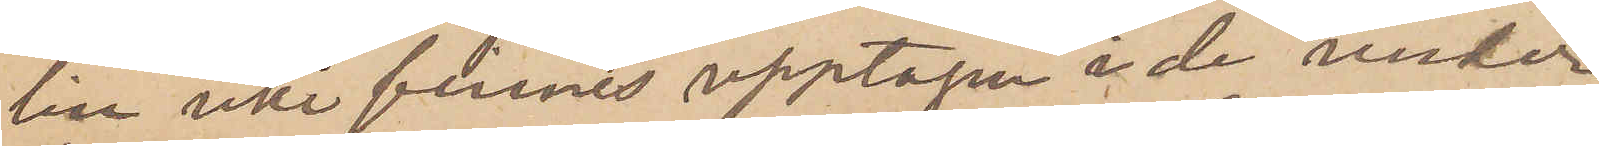lin icke finnes upptagen å de under
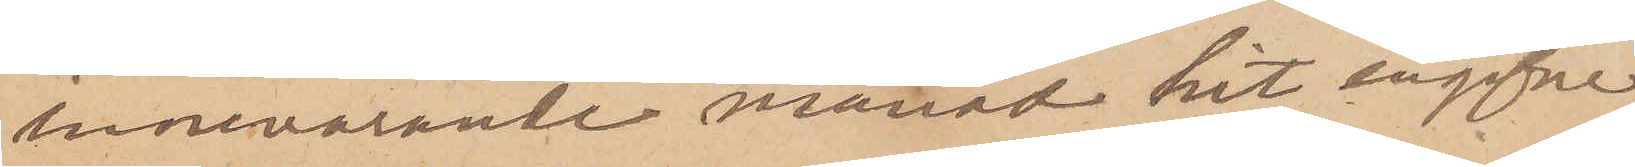innevarande månad hit ingifne
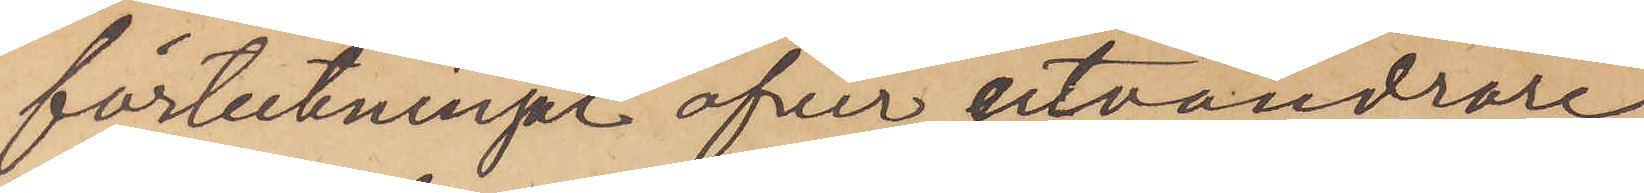förteckningar öfver utvandrare,
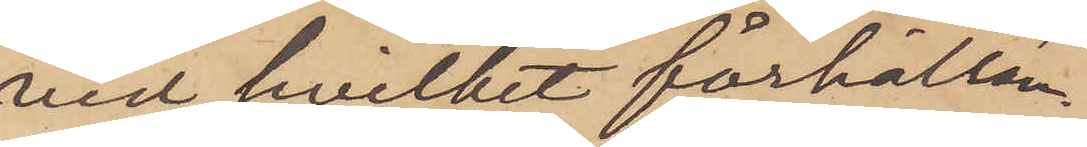vid hvilket förhållan¬
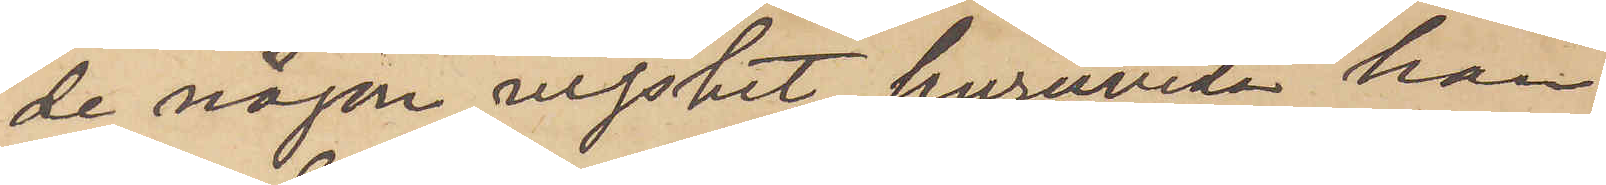de någon visshet, huruvida han
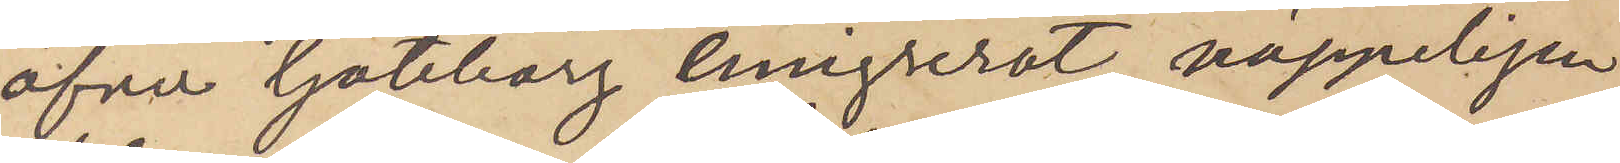öfver Göteborg emgrerat, näppeligen
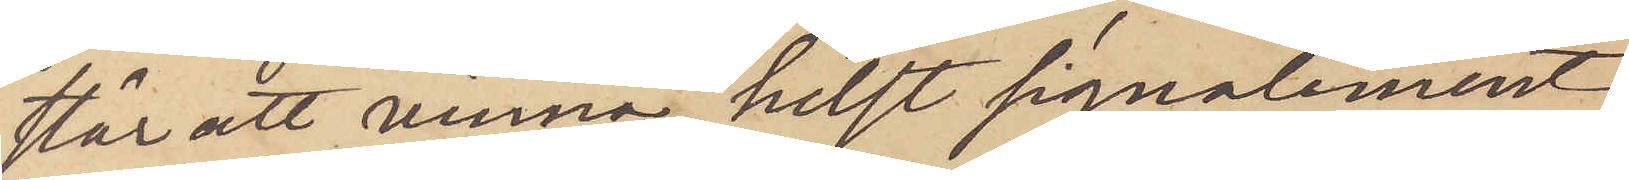står att vinna, helst signalement
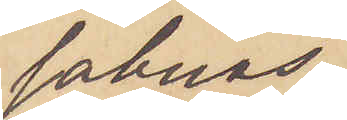saknas.
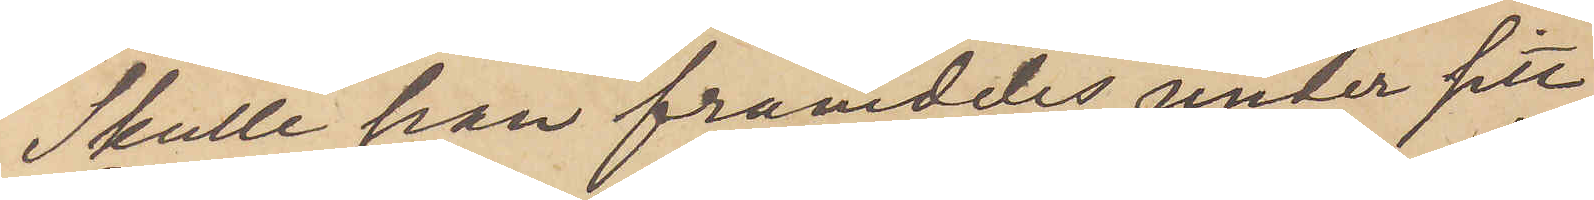Skulle han framdeles under sitt
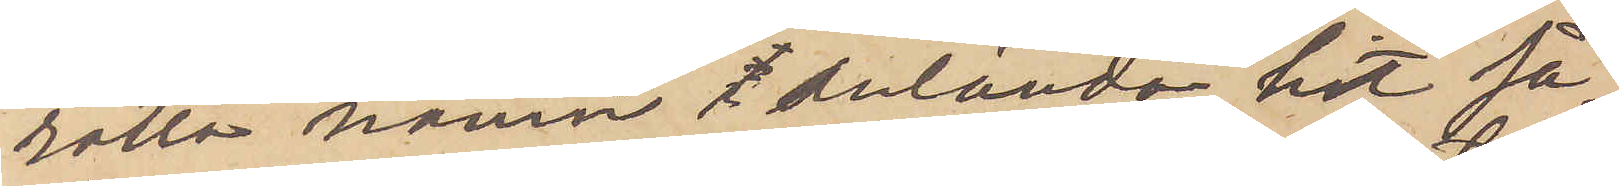rätta namn i anlända hit så¬
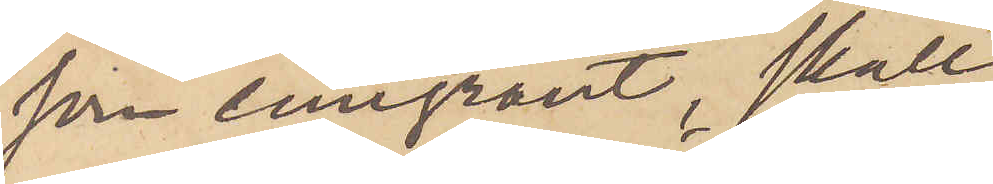som emigrant, skall
